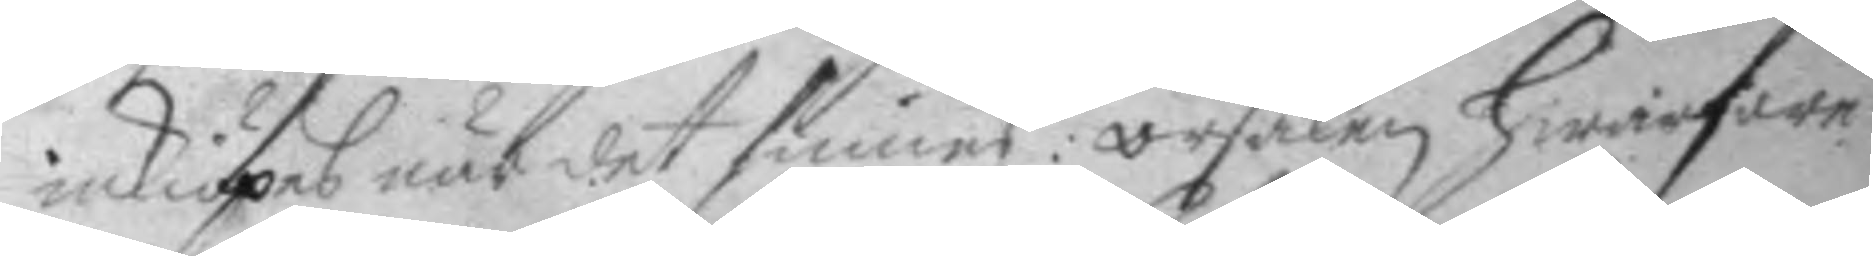inkiöpes när det finnes: orsaken, hwarföre
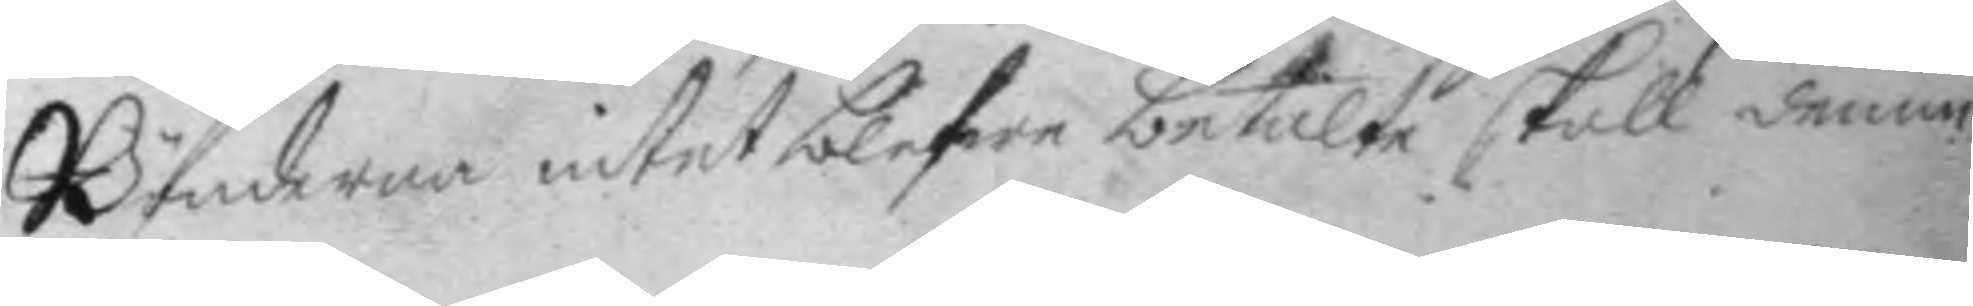Bönderna intet blefwe betalte skall denne
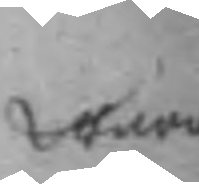ware
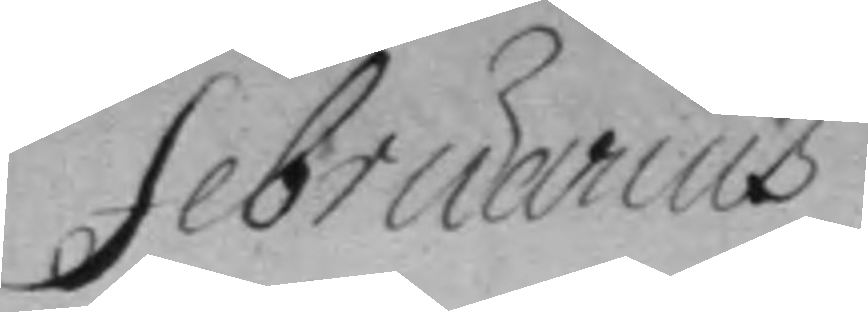Februarius
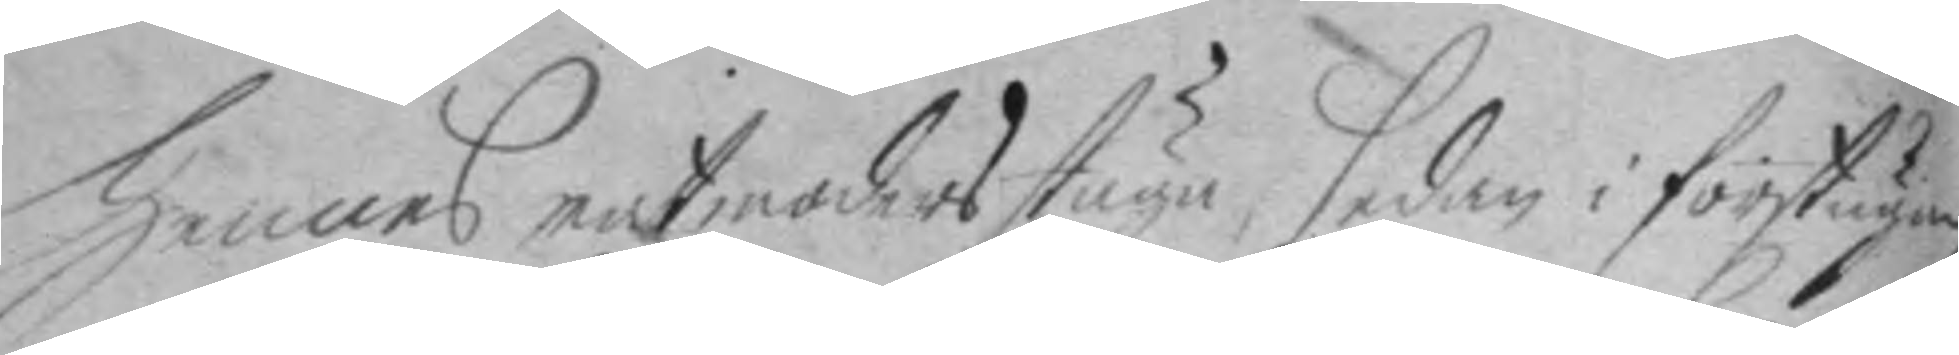hennes matmoders stugu, sedan i förstugan
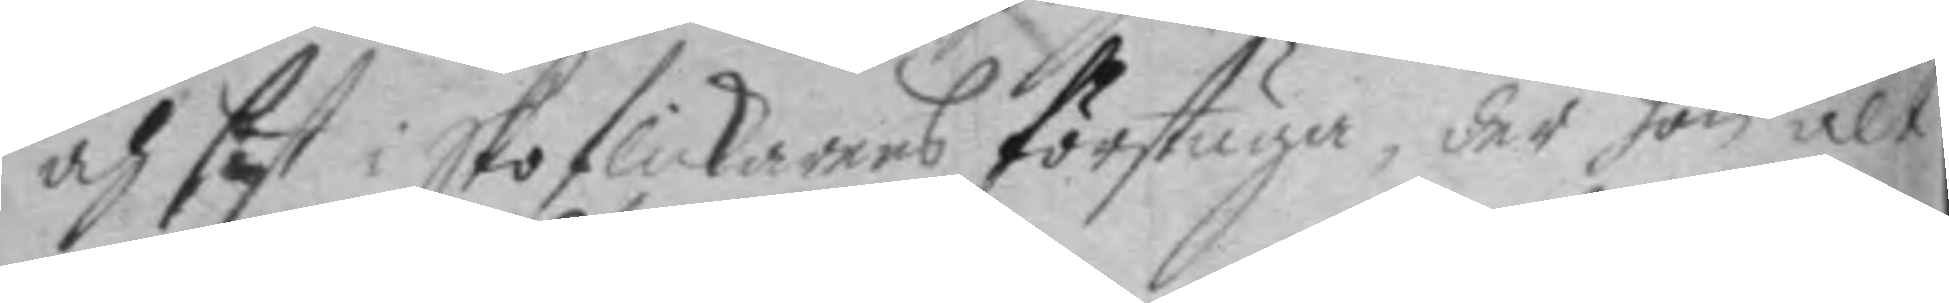och sist i Skoflickarens förstuga, der hon alt
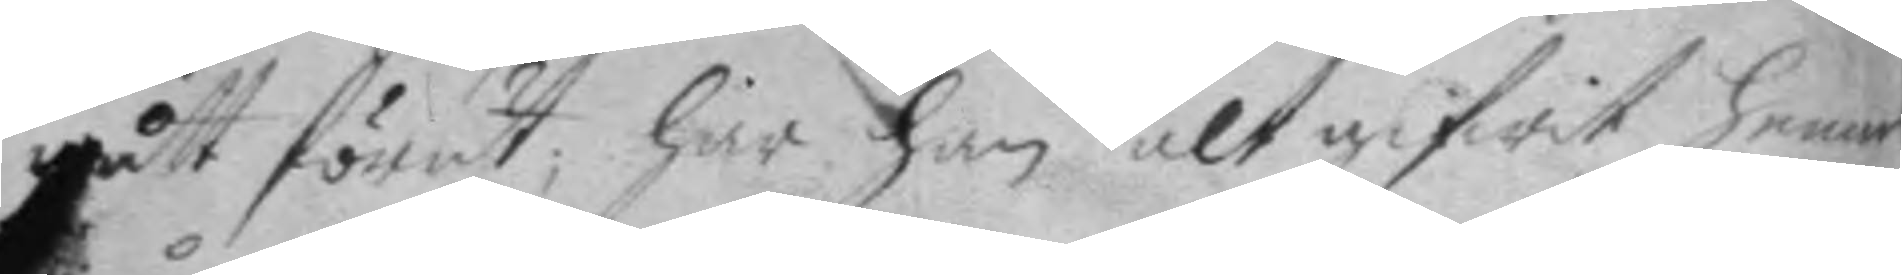gått förut; har han alt gifwit henne
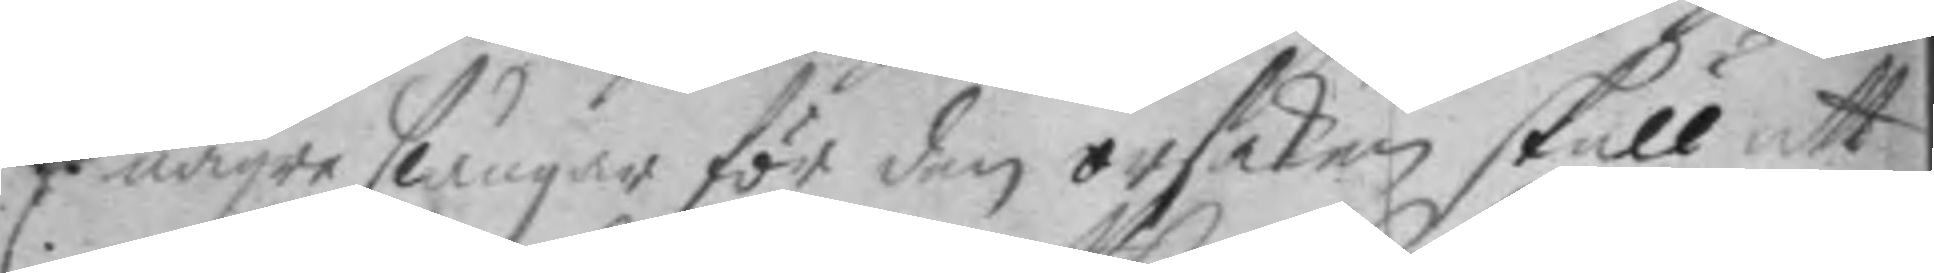någre slängar för den orsaken skull att
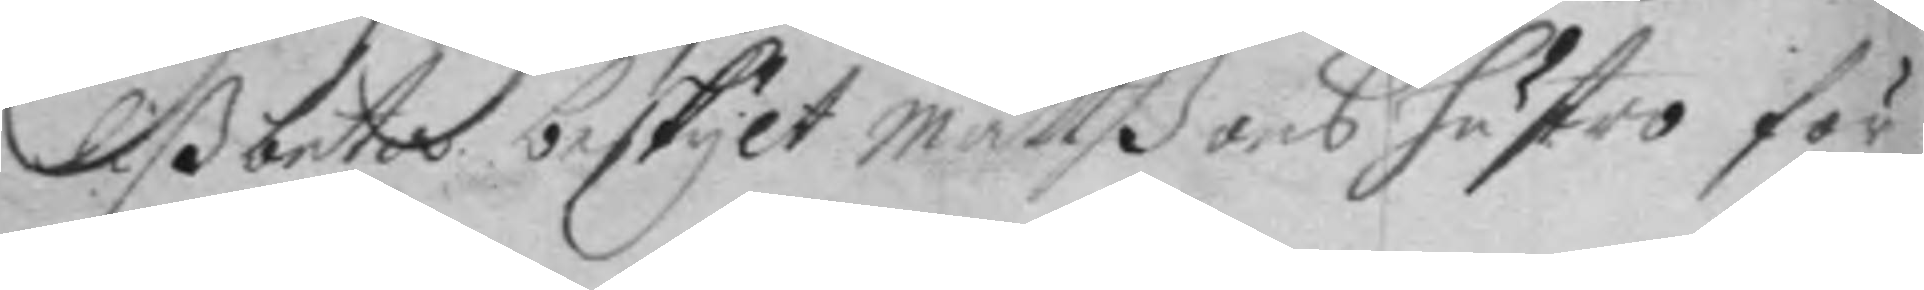lißbetta beskylt mattßons hustro för
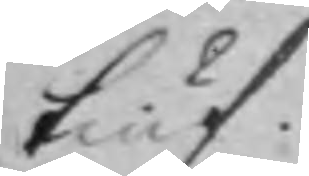tiuf.
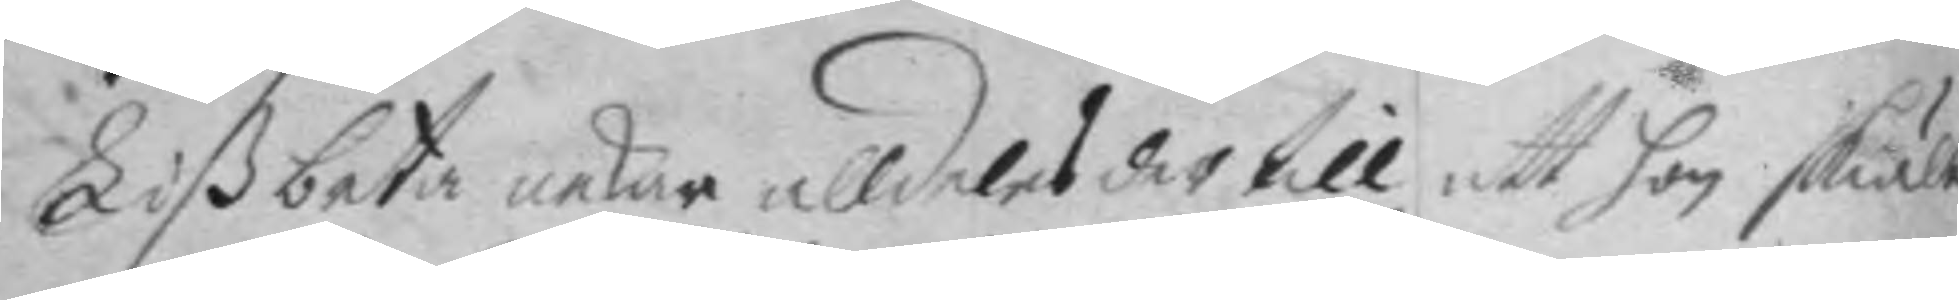Lißbeta nekar alldeles der till att hon skulle
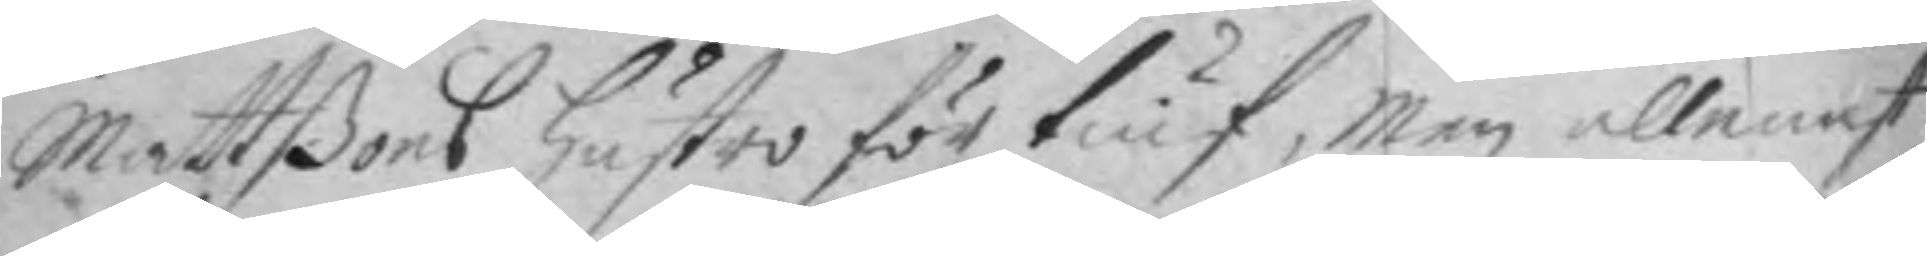Mattßons hustro för tiuf, men allenast
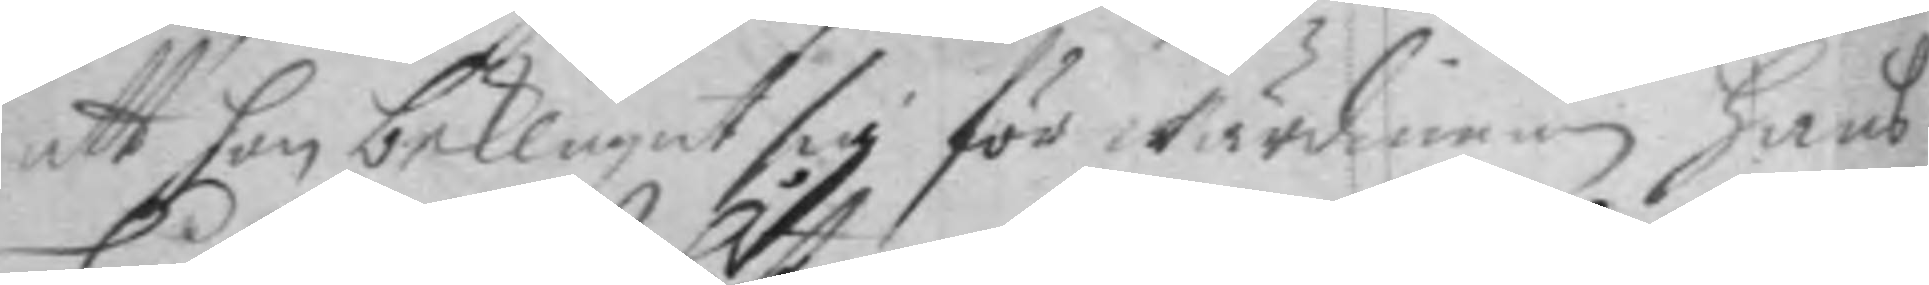att hon beklagat sig för wärdinnan Hans
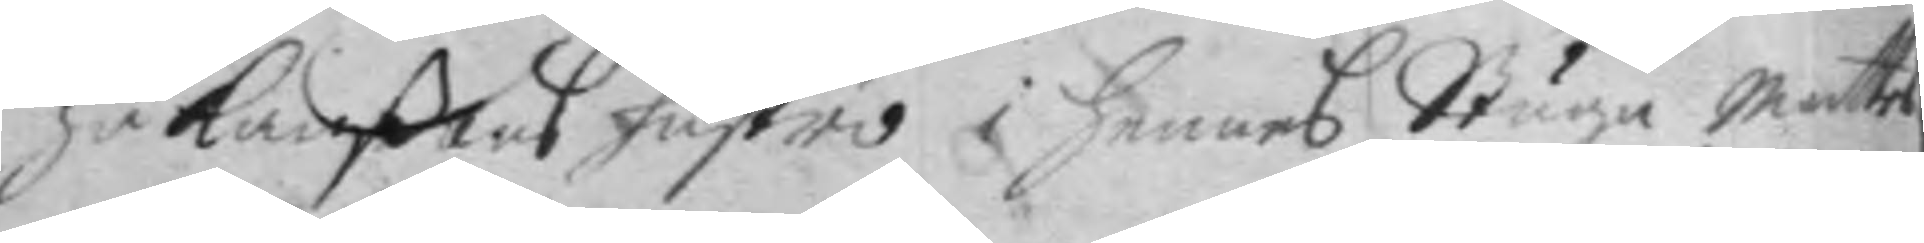Håkanßons hustro i hennes Stugu Mattes¬
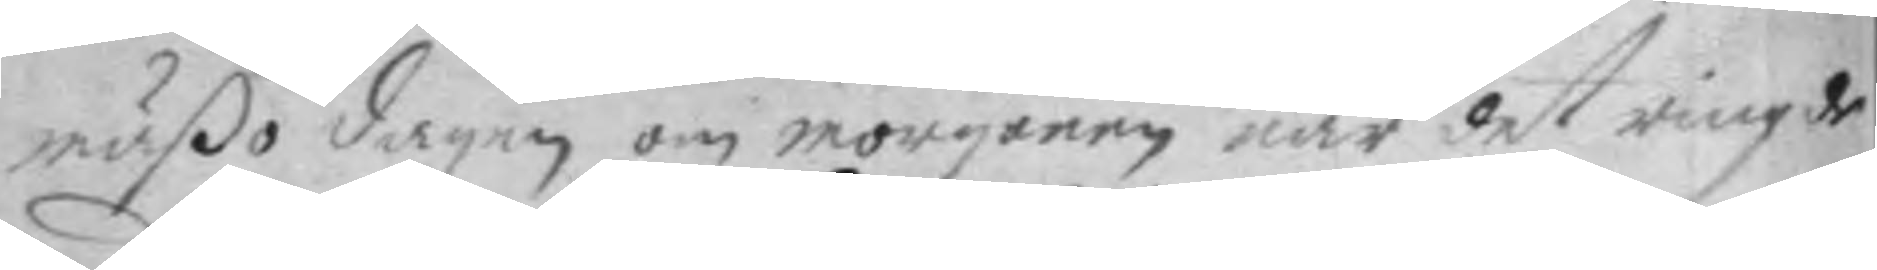mäßo dagen om morgonen när det ringde
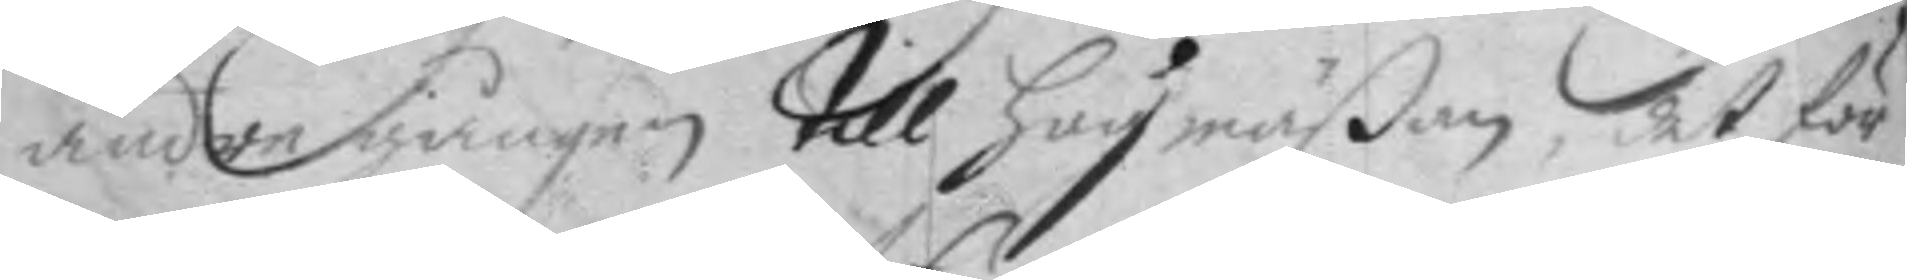andre gången till Högmäßan, det för
